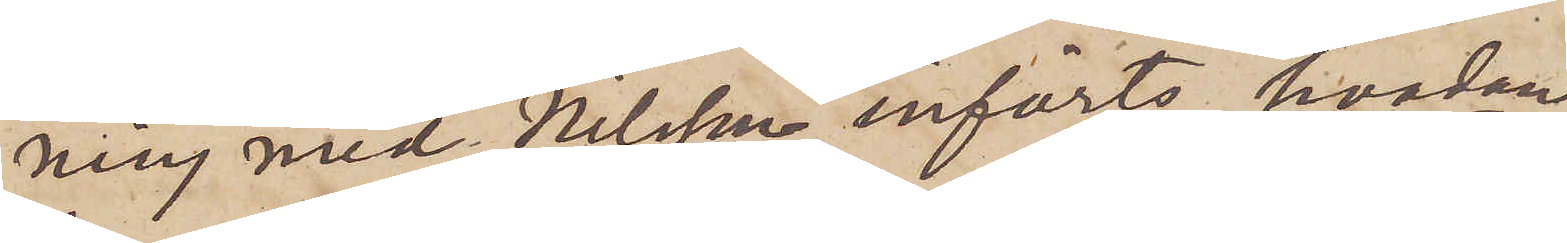ning med Nilsson införts hvadan
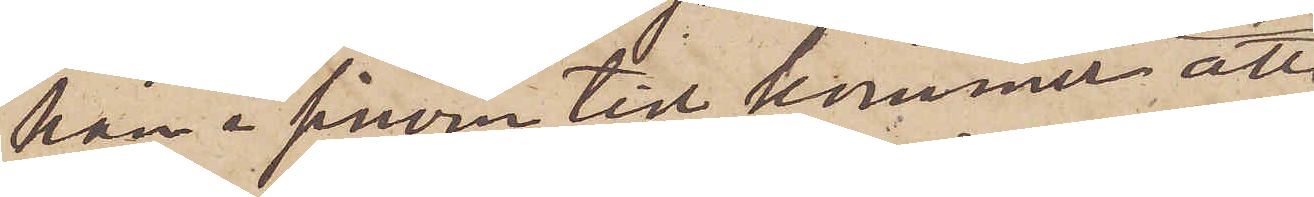han i sinom tid kommer att
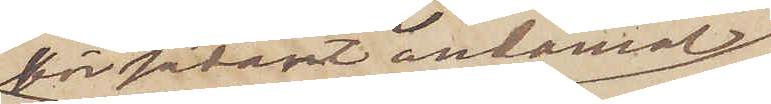för sådant ändamål
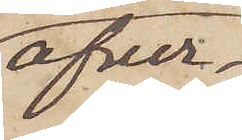öfver¬
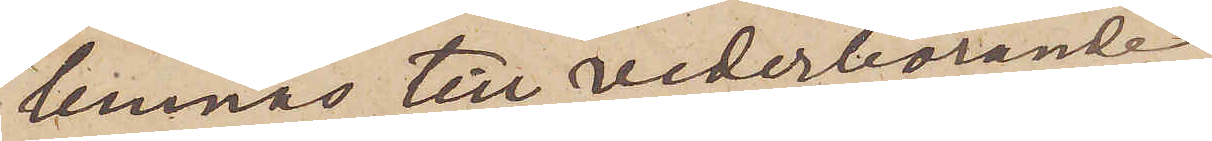lemnas till vederbörande
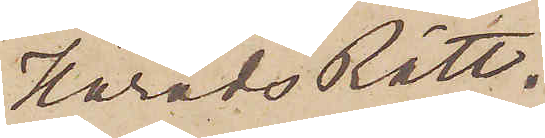HäradsRätt.
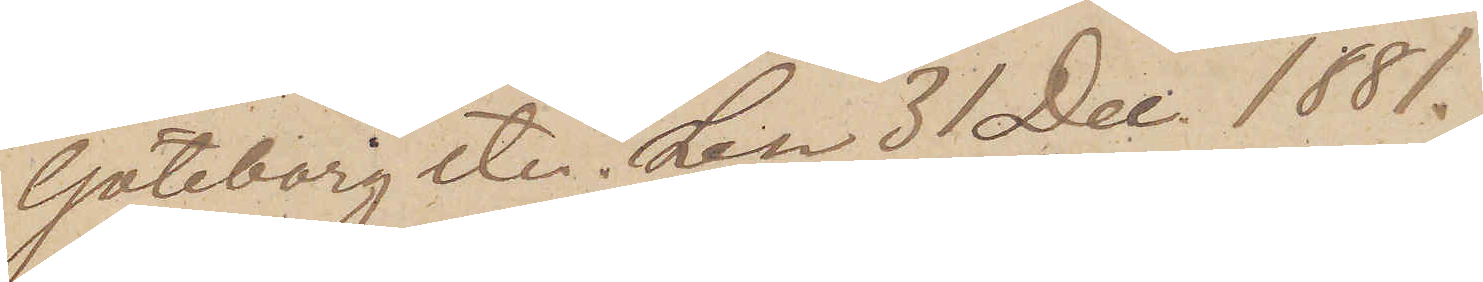Göteborg etc.den 31 Dec. 1881.
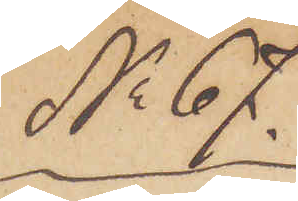No 67.
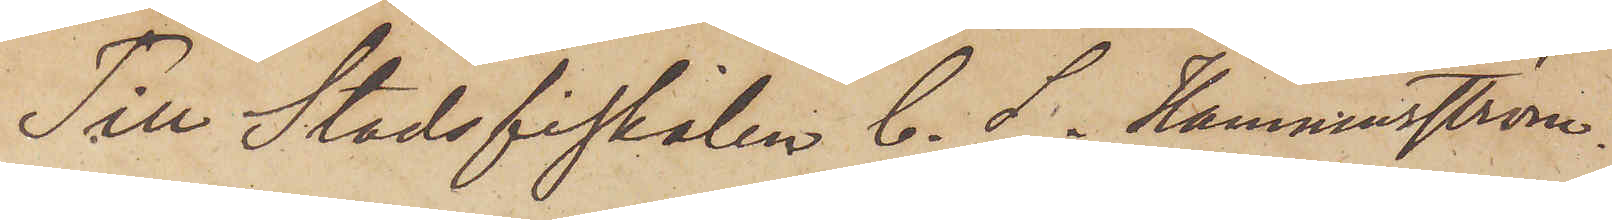Till Stadsfiskalen C. S. Hammarström.
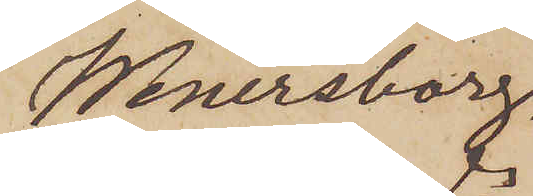Wenersborg.
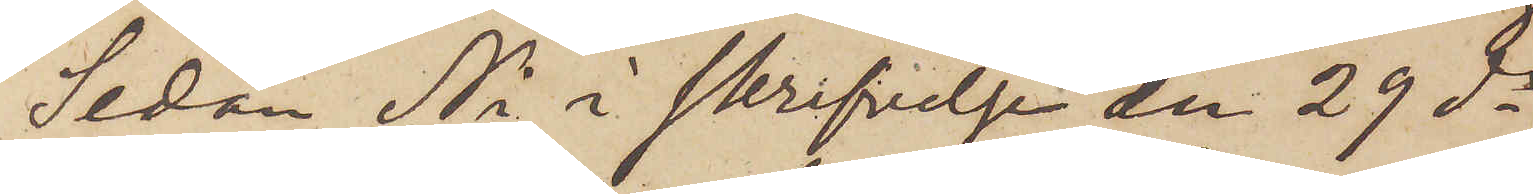Sedan Ni i skrifvelse den 29 ds
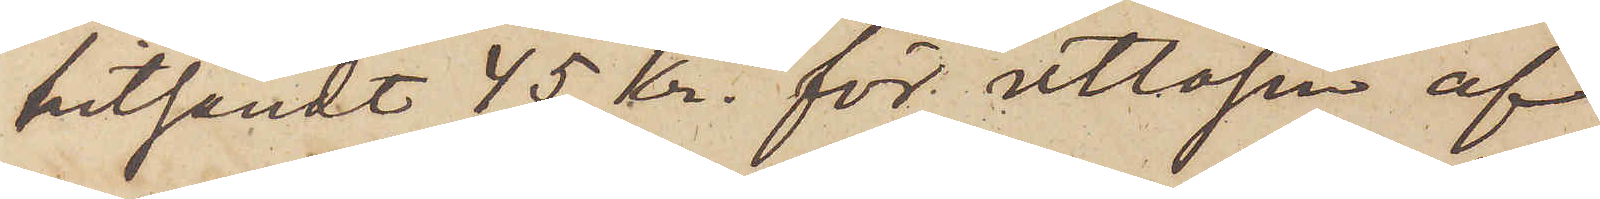hitsändt 45 kr. för utlösen af
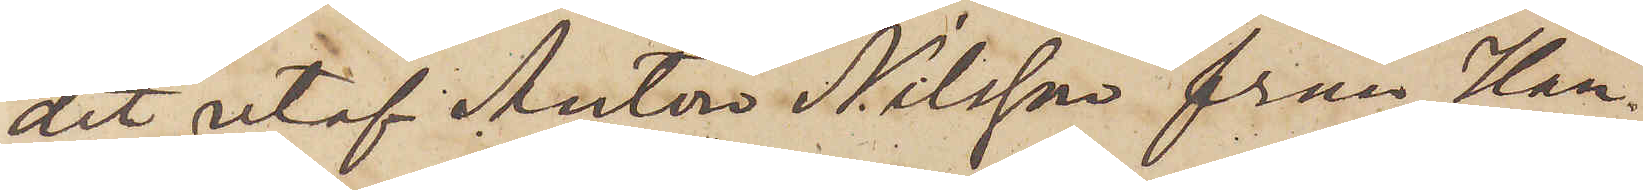det utaf Anton Nilsson från Han¬
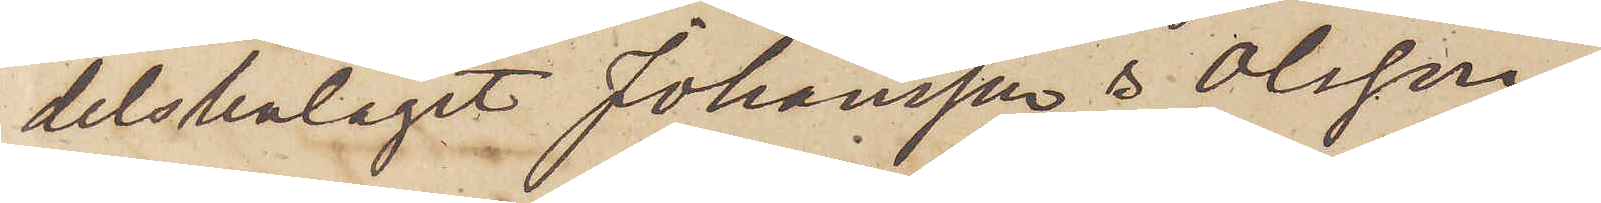delsbolaget Johansson & Olsson
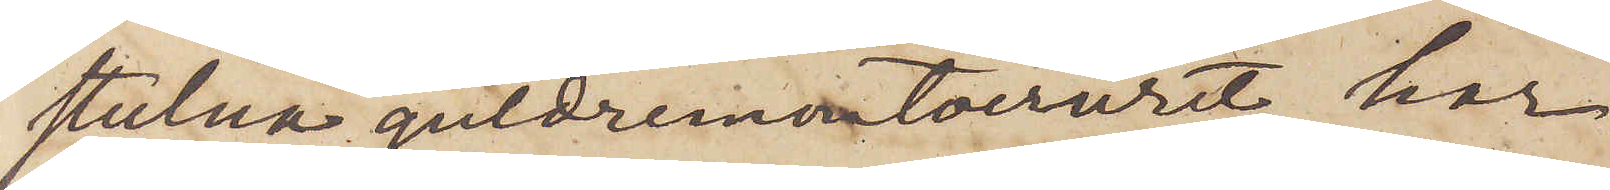stulna guldremontoiruret, har
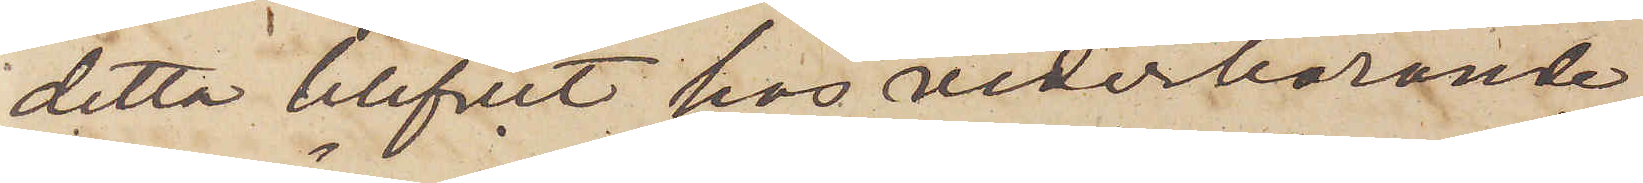detta blifvit hos vederbörande
